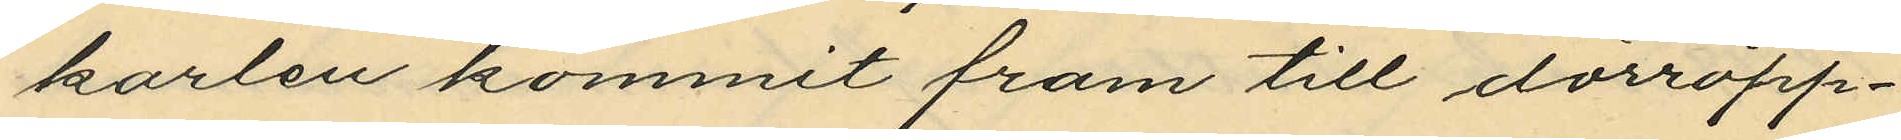karlen kommit fram till dörröpp¬
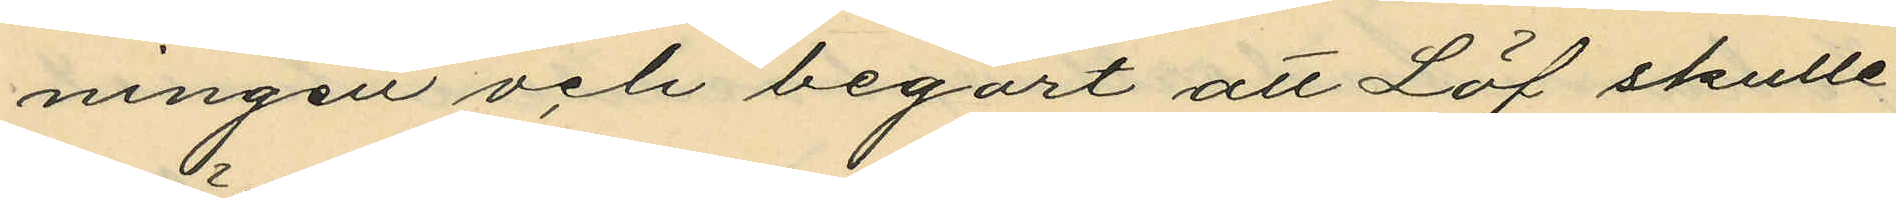ningen och begärt att Löf skulle
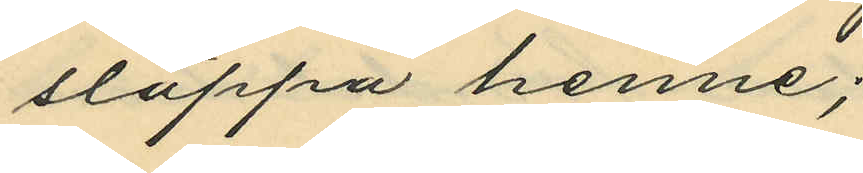släppa henne;
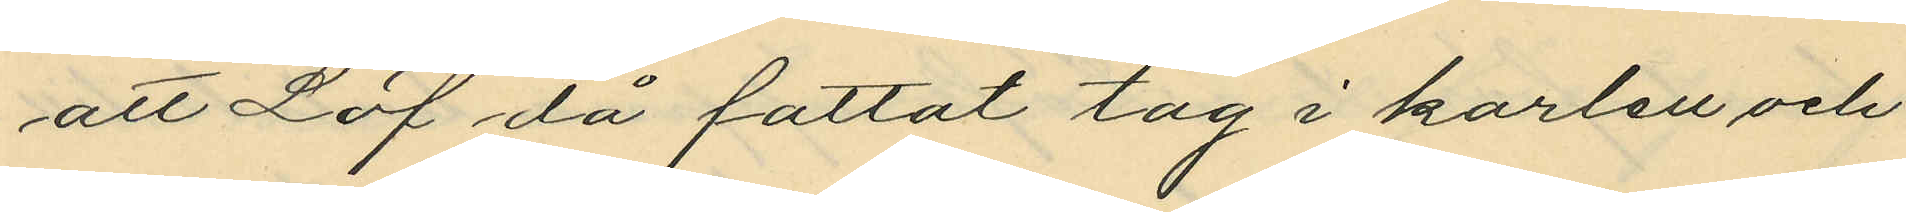att Löf då fattat tag i karlen och
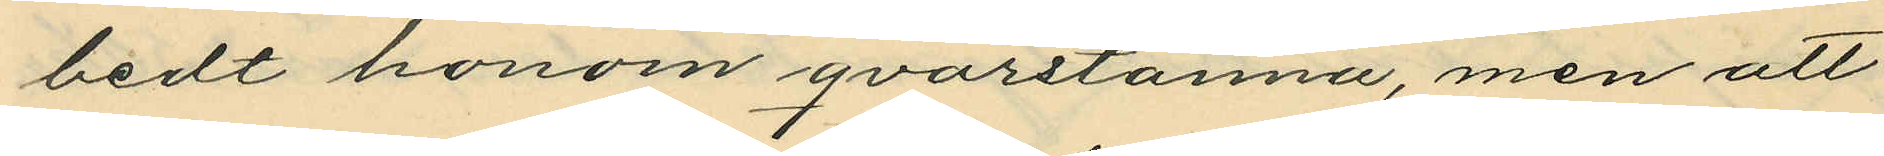bedt honom qvarstanna, men att
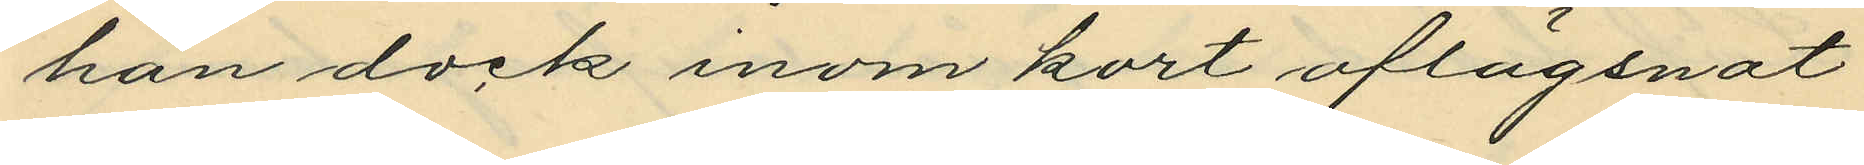han dock inom kort aflägsnat
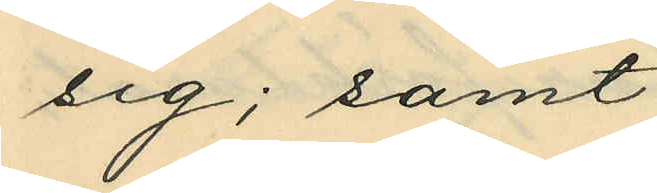sig; samt
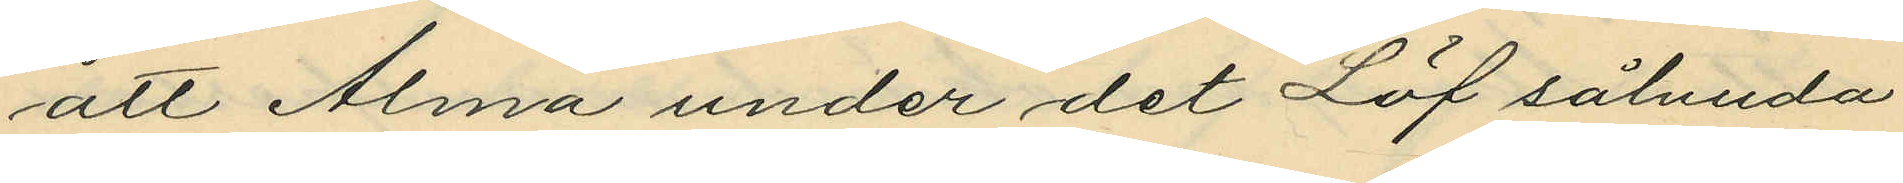att Alma under det Löf sålunda
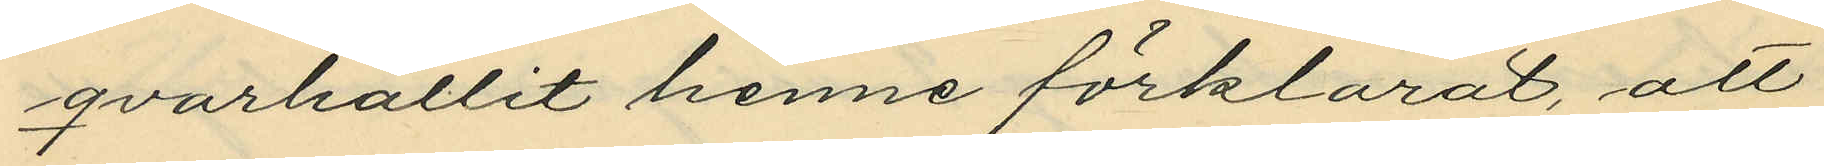qvarhållit henne förklarat, att
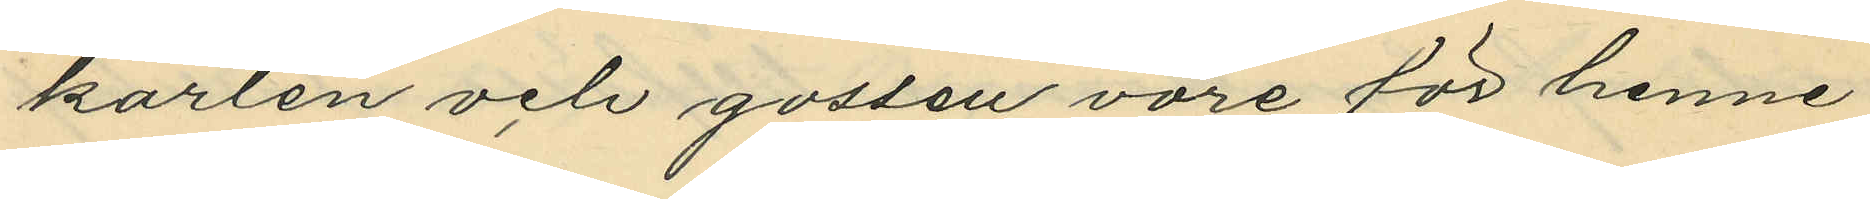karlen och gossen vore för henne
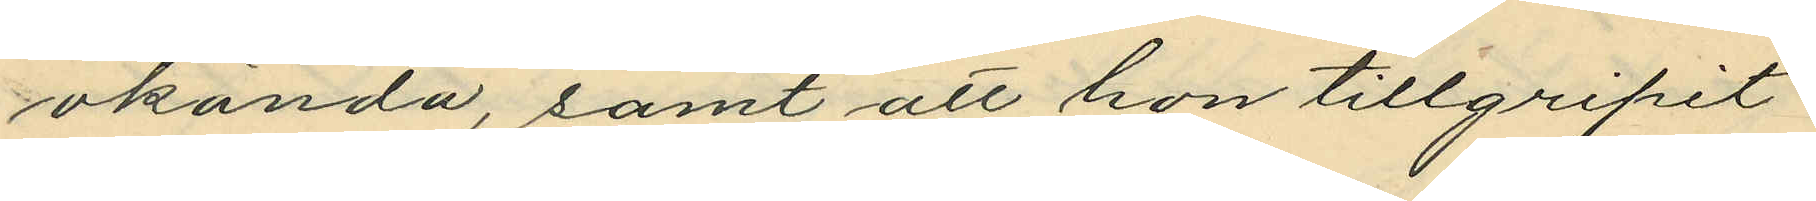okända, samt att hon tillgripit
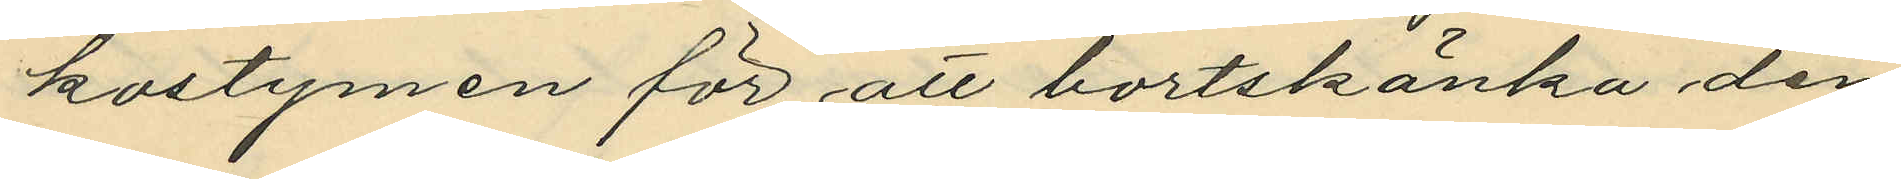kostymen för att bortskänka den
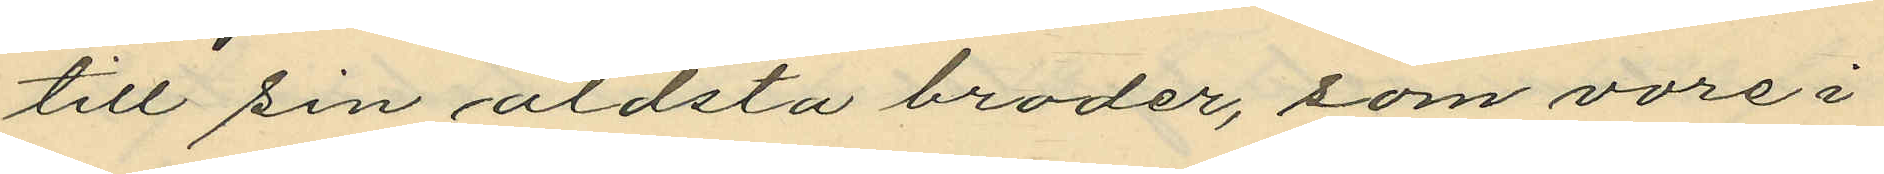till sin äldsta broder, som vore i
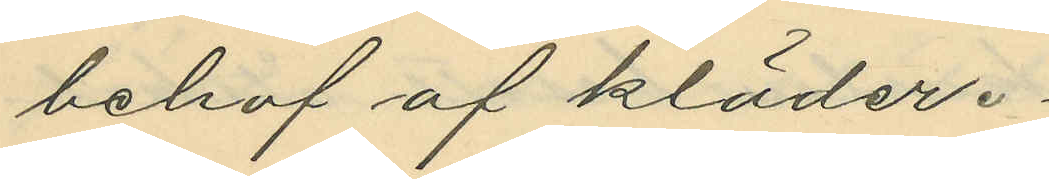behof af kläder.
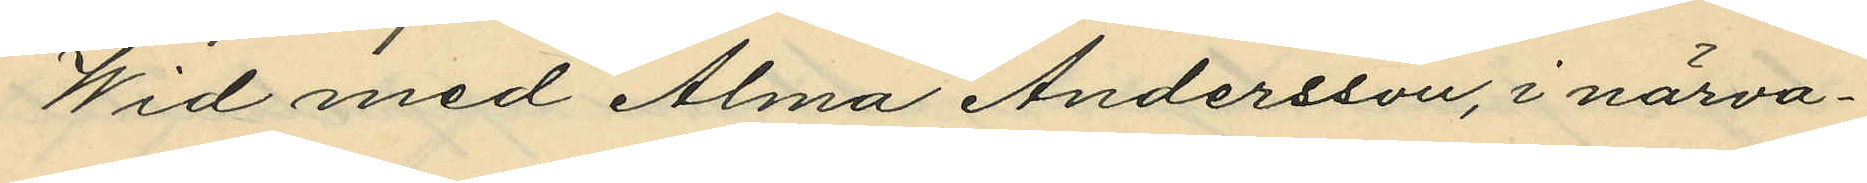Wid med Alma Andersson, i närva¬
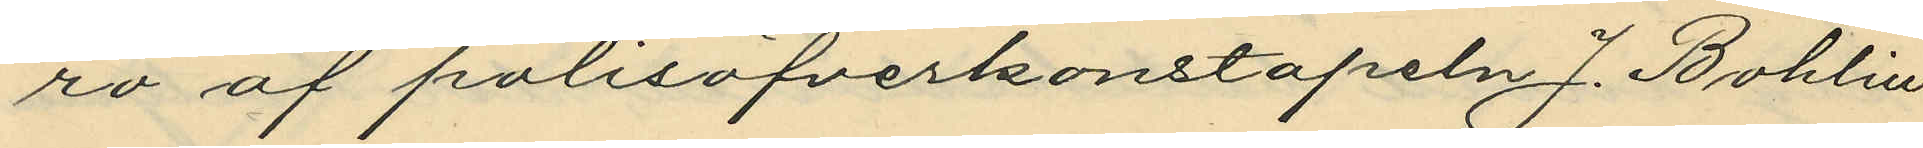ro af polisöfverkonstapeln J. Bohlin
